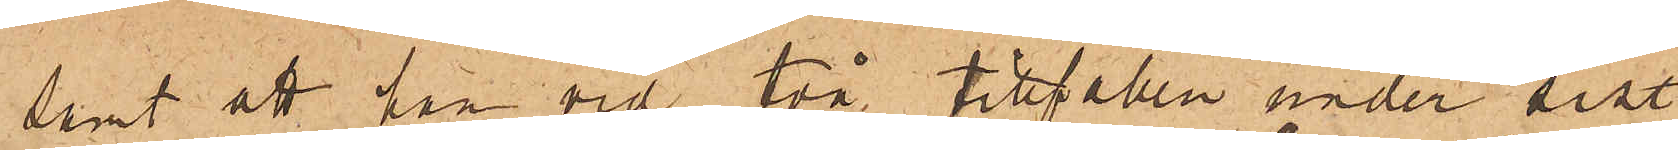samt att han vid två tillfällen under sist.
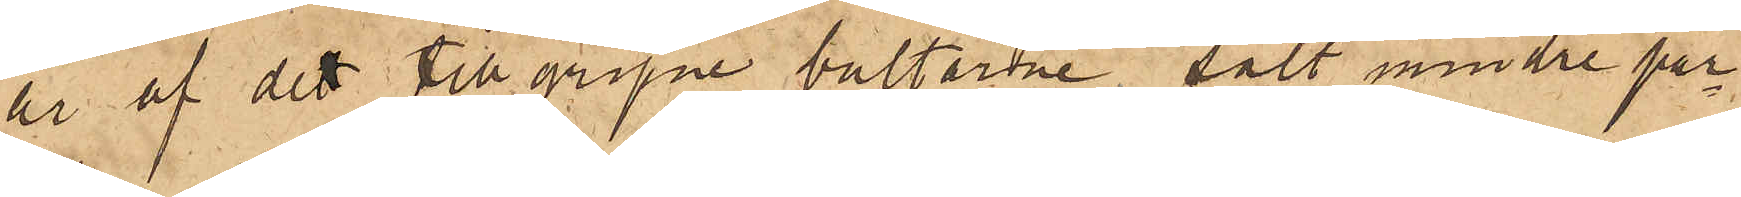år af det tillgripne bultarne sålt mindre par¬
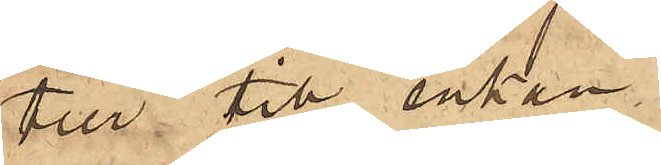tier till enkan
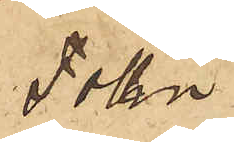Follin.
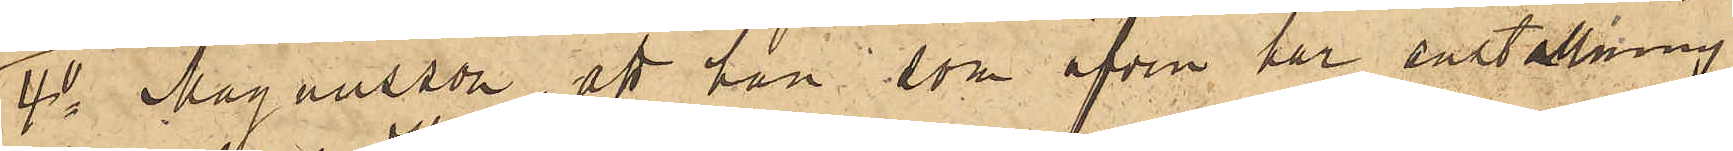4o Magnusson, att han, som äfven har anställning
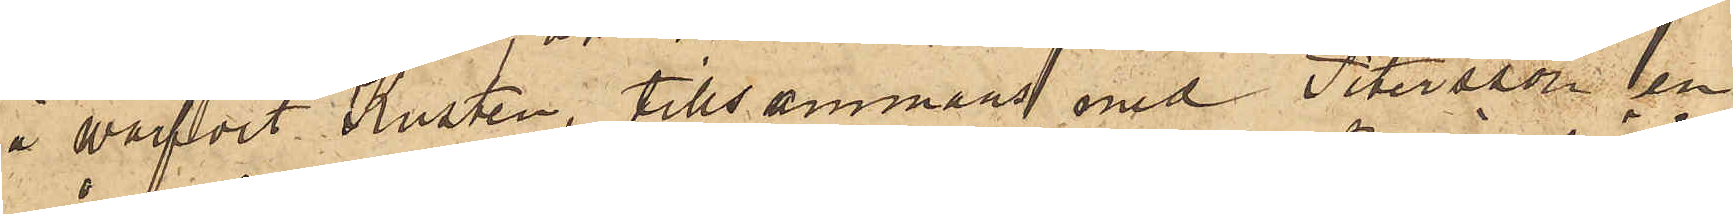å warfvet Kusten, tillsammans med Petersson en
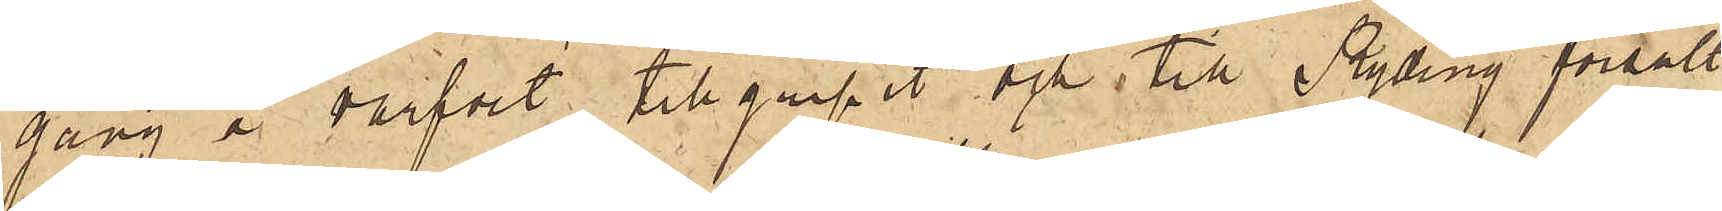gång å warfvet tillgripit och till Ryding försålt
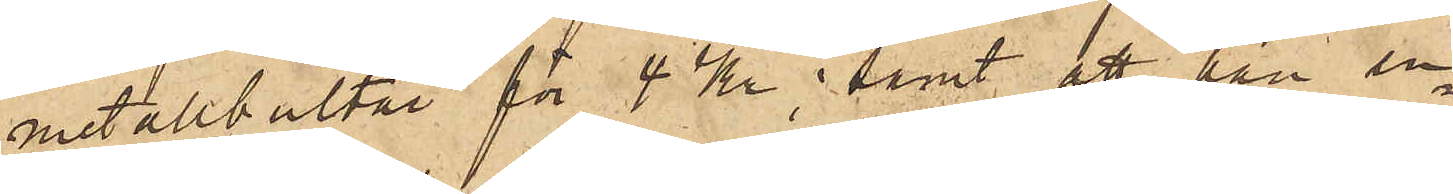metallbultar för 4 Kr; samt att han en¬
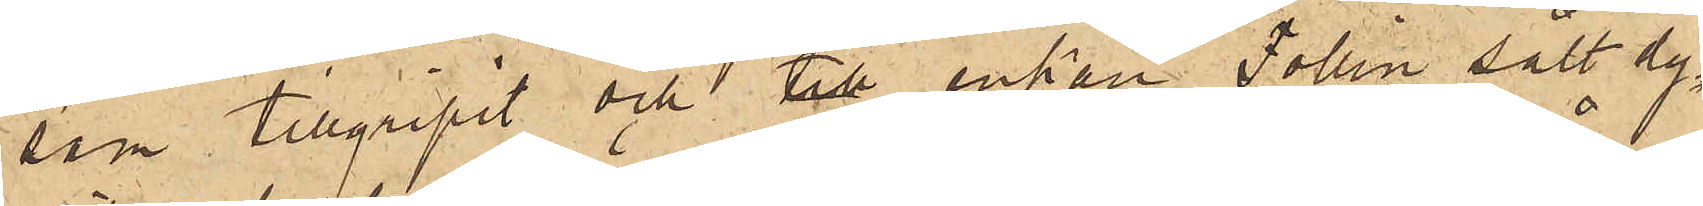sam tillgripit och till enkan Follin sålt dy¬
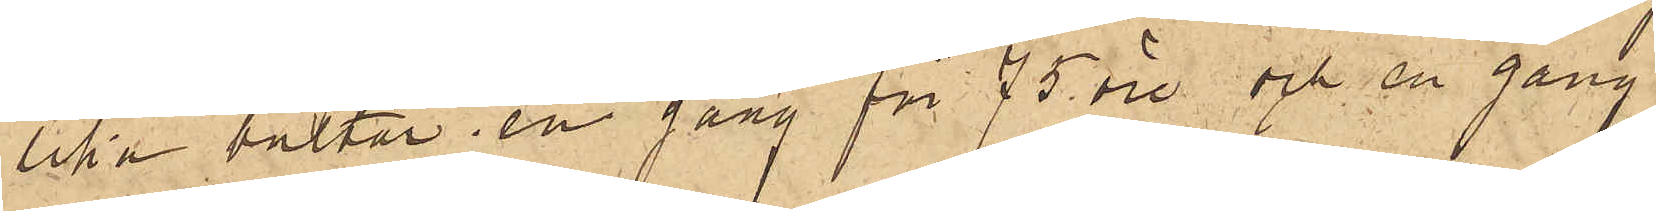lika bultar, en gång för 75 öre och en gång
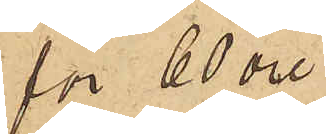för 60 öre.
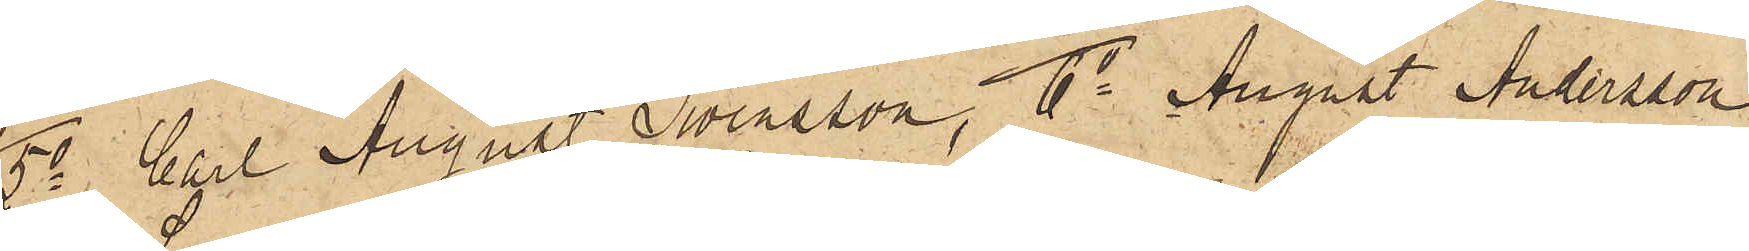5o Carl August Svensson, 6o August Andersson
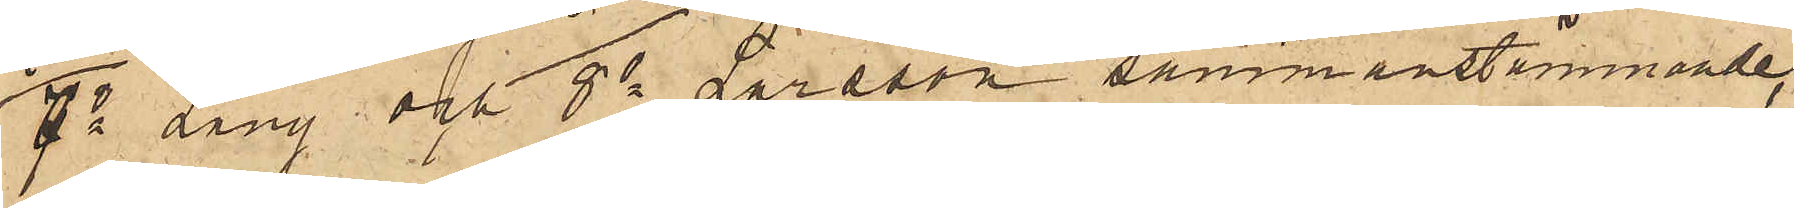7o Lang och 8o Larsson sammanstämmande,
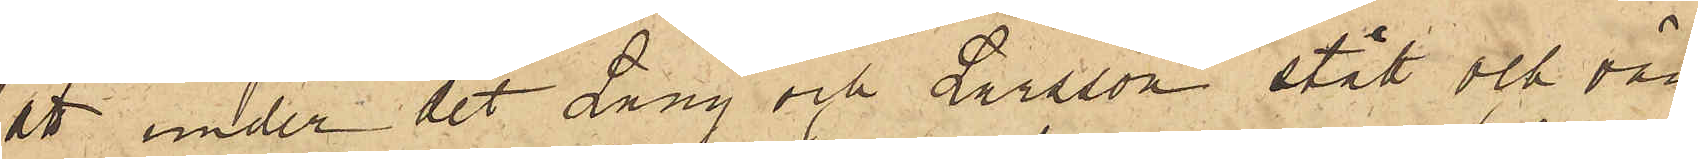att under det Lang och Larsson stått och vän¬
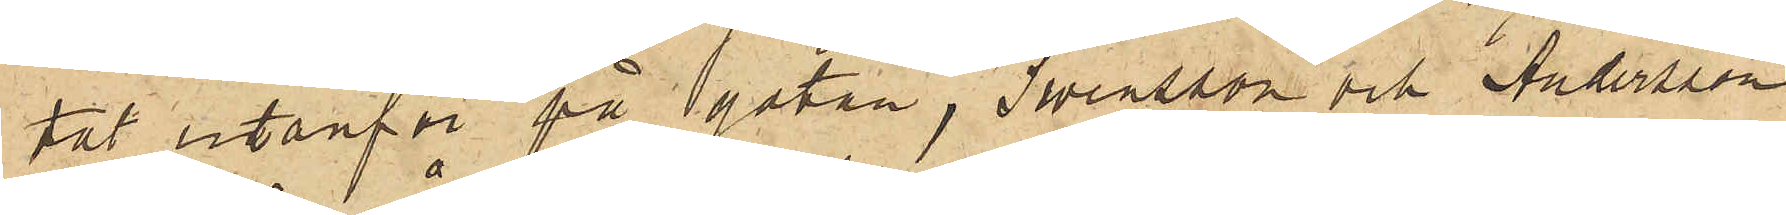tat utanför på gatan, Swensson och Andersson
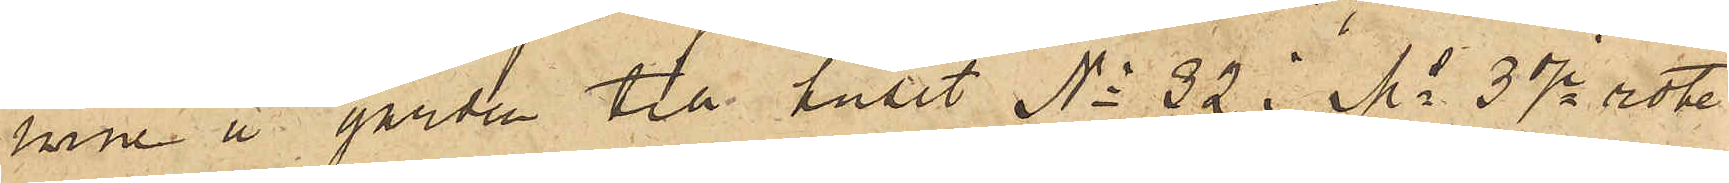inne å gården till huset No 32 i Ms 3dje rote
